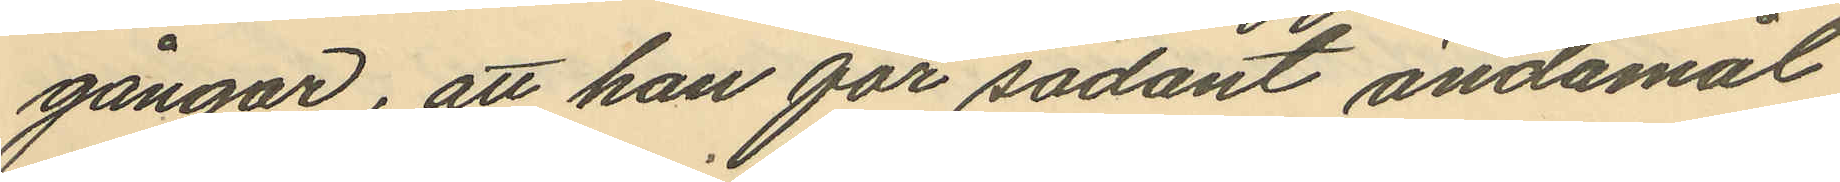gångar, att han för sådant ändamål
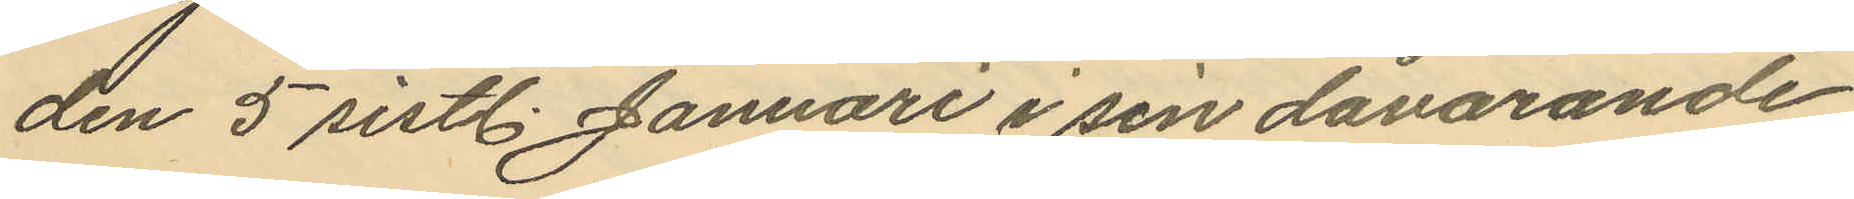den 5 sistl. Januari i sin dåvarande
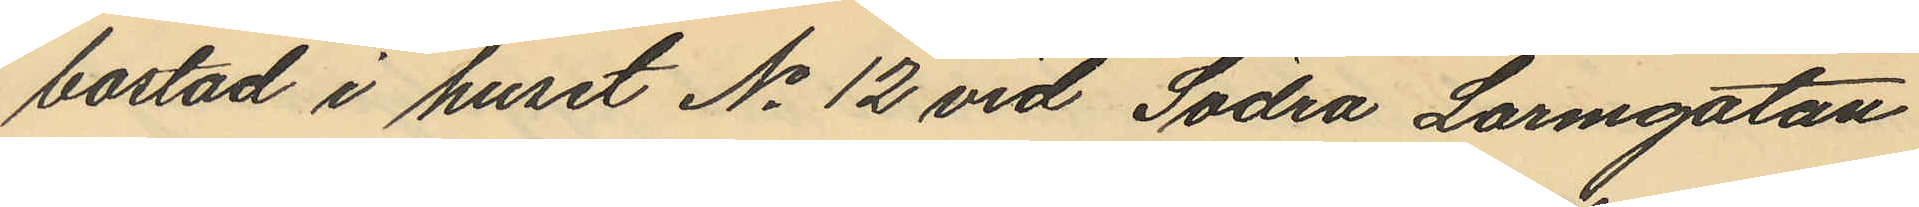bostad i huset No 12 vid Södra Larmgatan
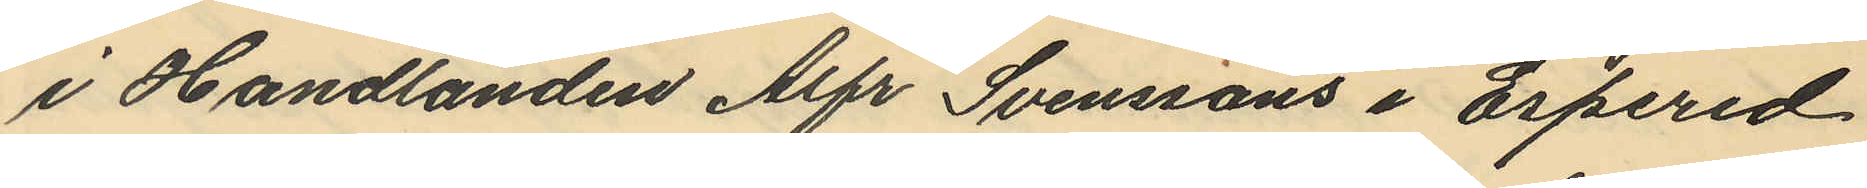i Handlanden Alfr Svenssons i Espered
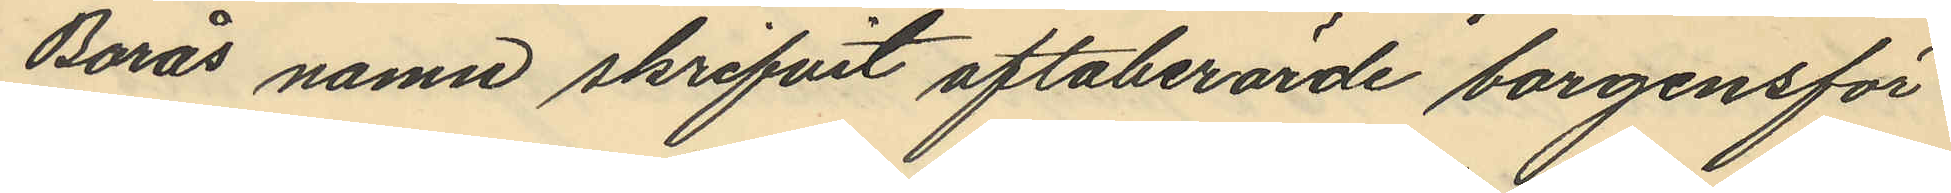Borås namn skrifvit oftaberörde borgensför¬
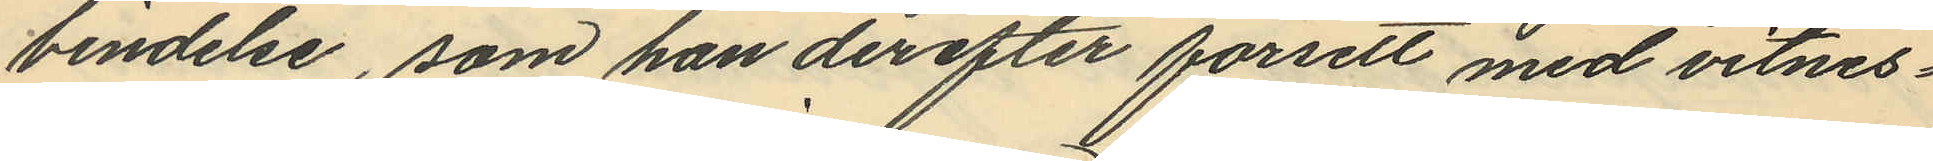bindelse, som han derefter försett med vitnes¬
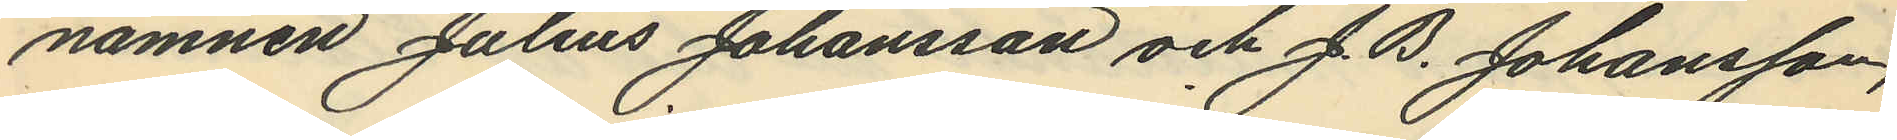namnen Julius Johansson och J. B. Johansson,
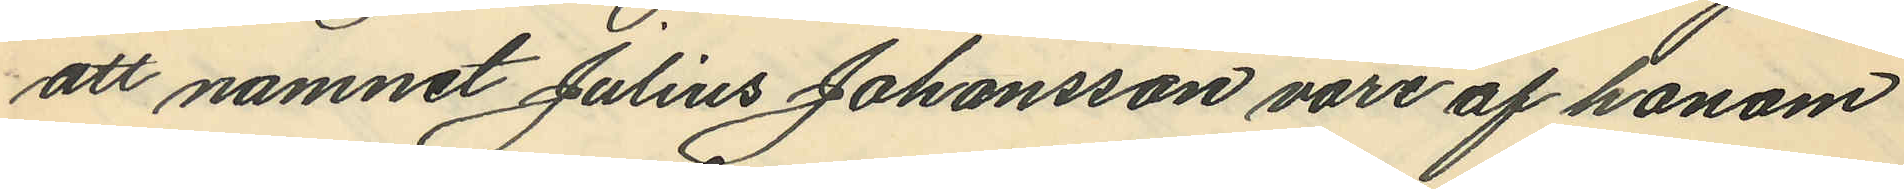att namnet Julius Johansson vore af honom
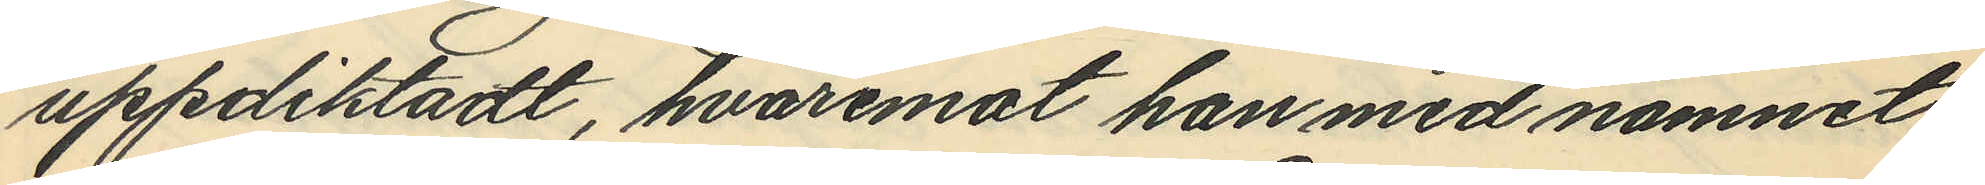uppdiktadt, hvaremot han med namnet
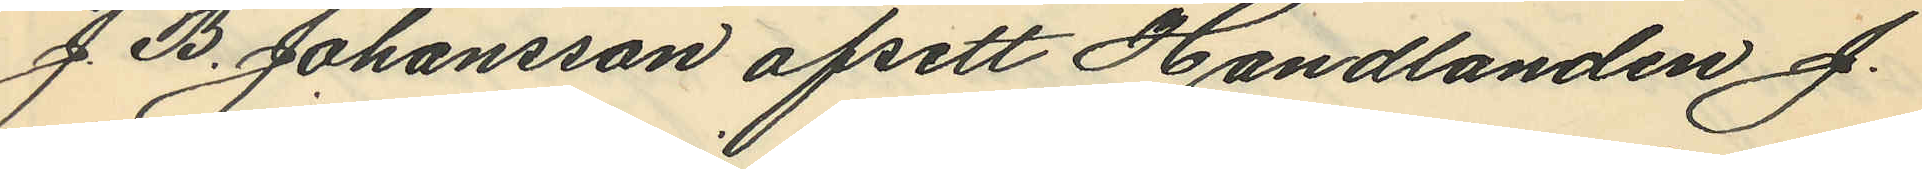J. B. Johansson afsett Handlanden J.
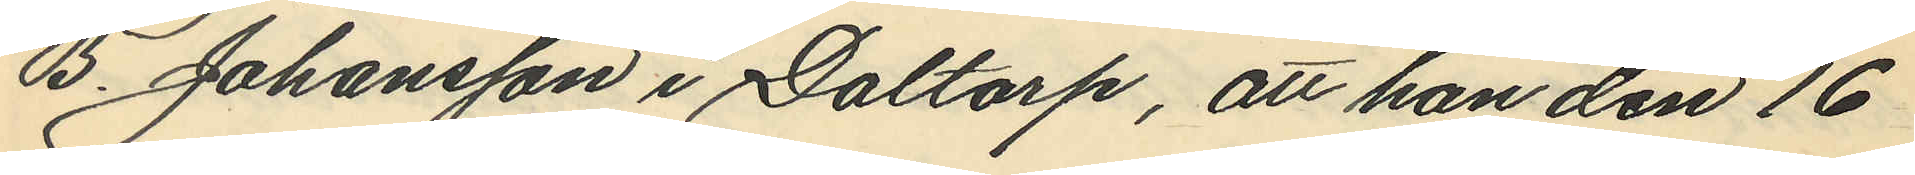B. Johansson i Daltorp, att han den 16
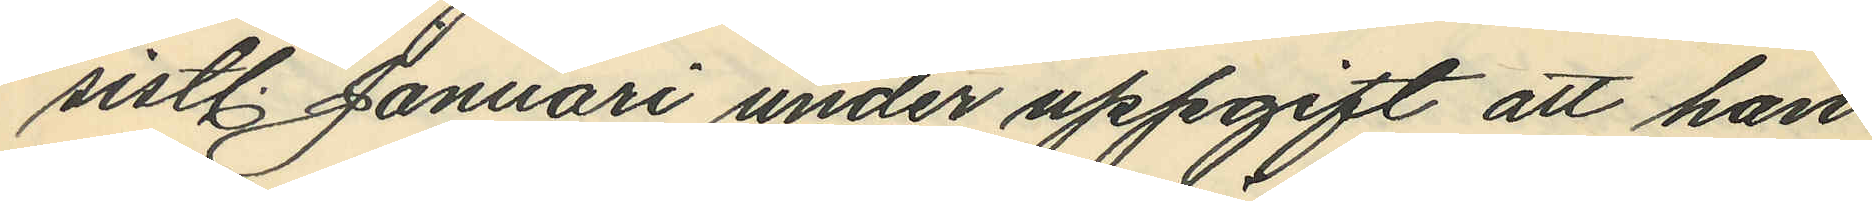sistl. Januari under uppgift att han
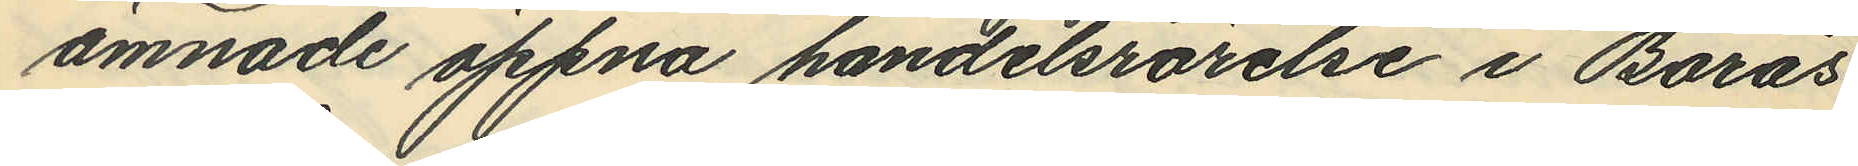ämnade öppna handelsrörelse i Borås
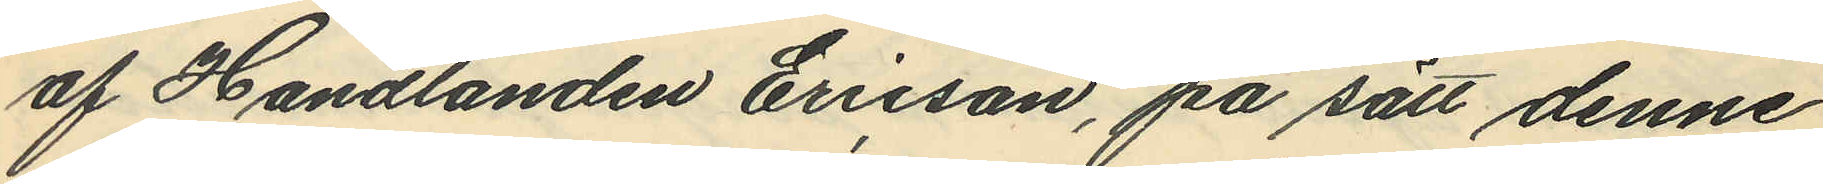af Handlanden Ericson, på sätt denne
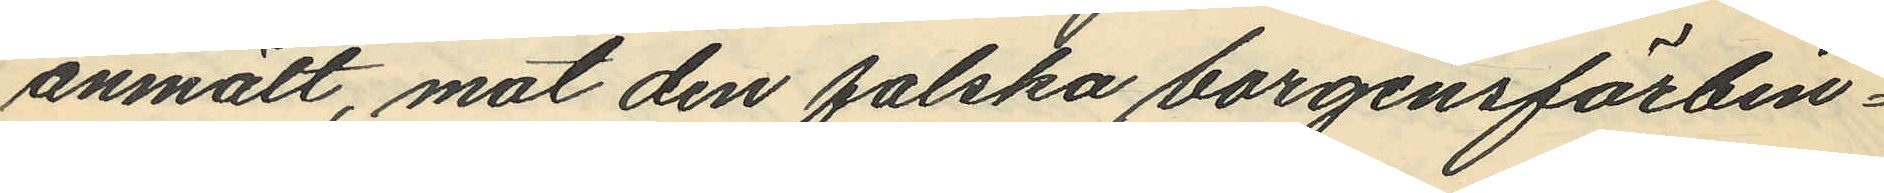anmält, mot den falska borgensförbin¬
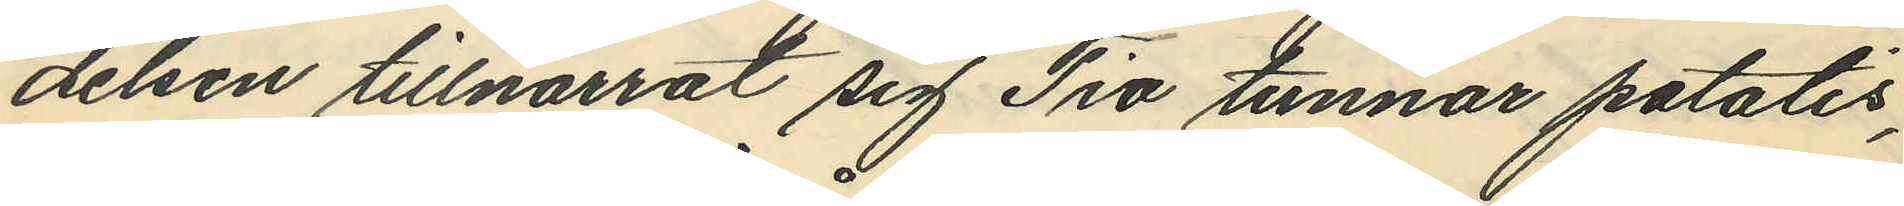delsen tillnarrat sig Tio tunnor potatis,
